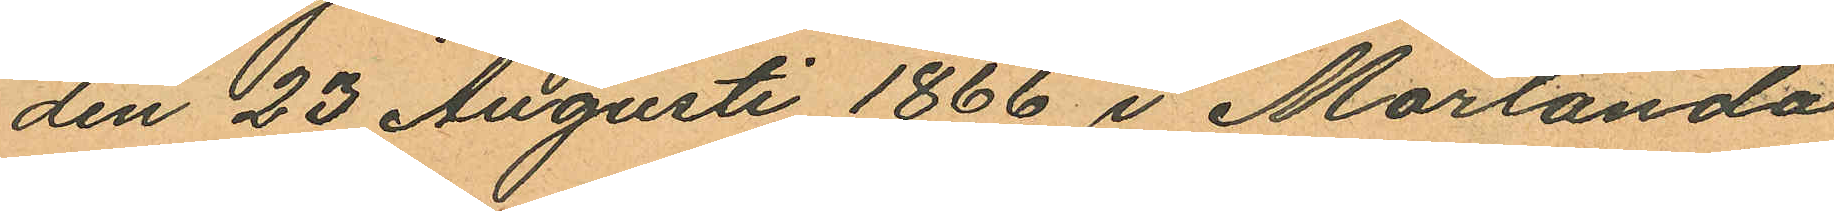den 23 Augusti 1866 i Morlanda
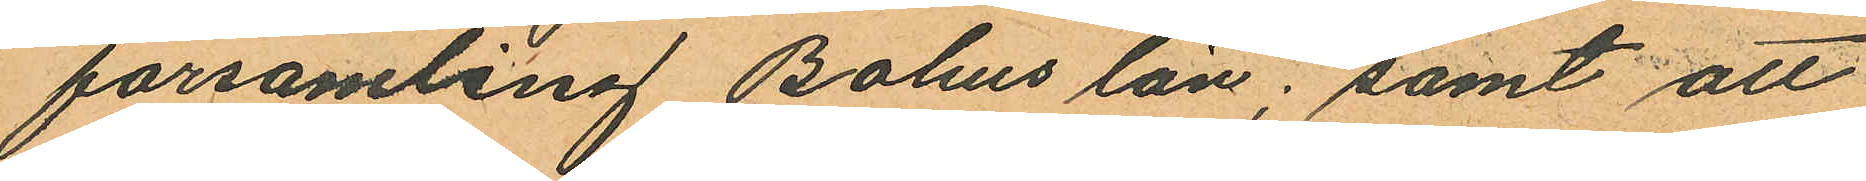församling Bohus län; samt att
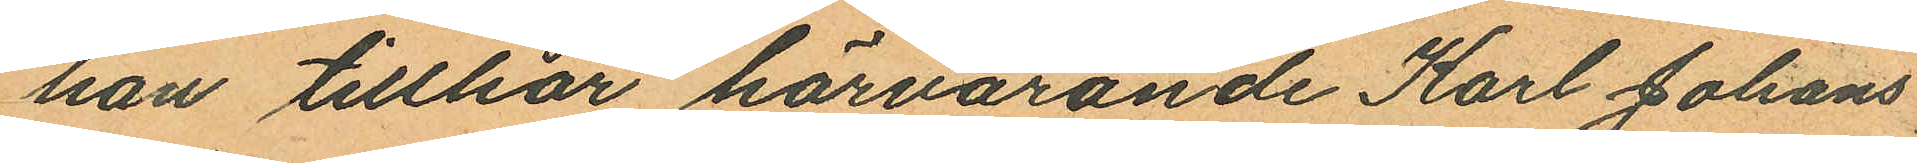han tillhör härvarande Karl Johans
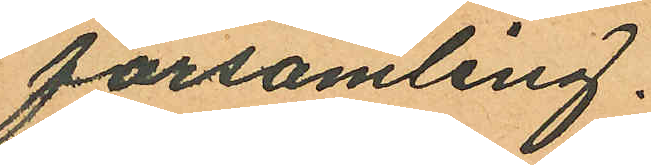församling.
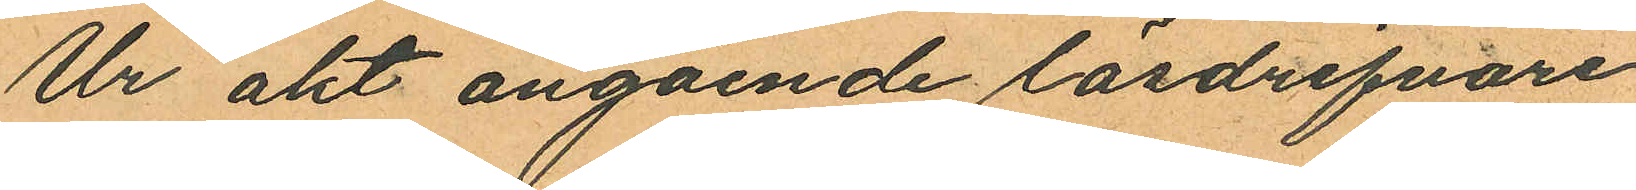Ur akt angående lösdrifvare
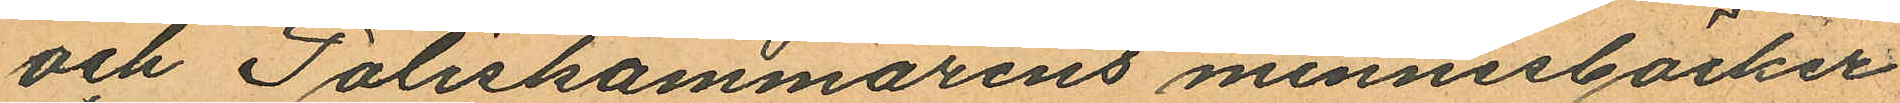och Poliskammarens minnesböcker
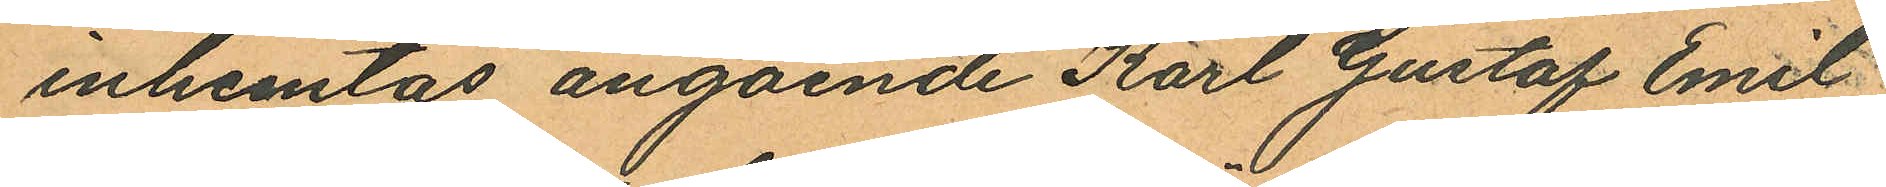inhemtas angående Karl Gustaf Emil
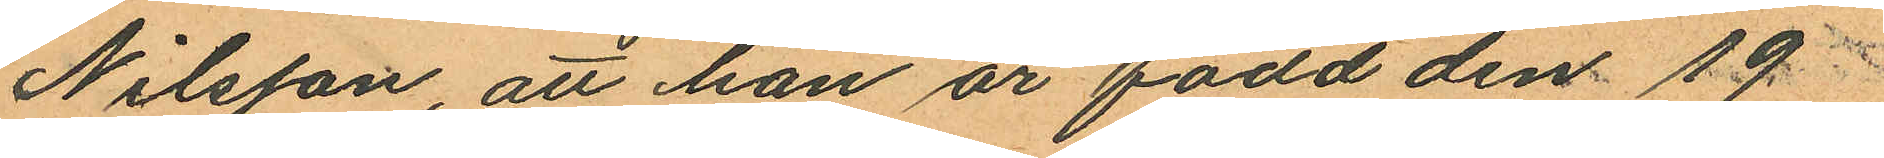Nilsson, att han är född den 19
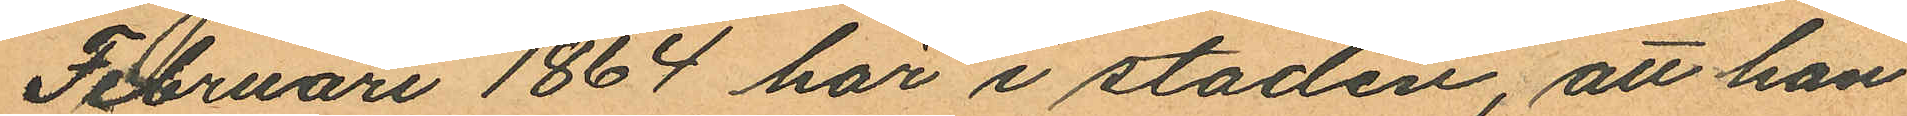Februari 1864 här i staden, att han
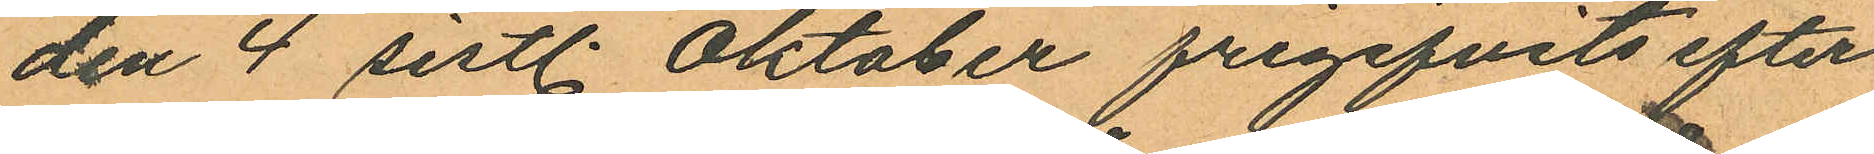den 4 sistl. Oktober frigifvits efter
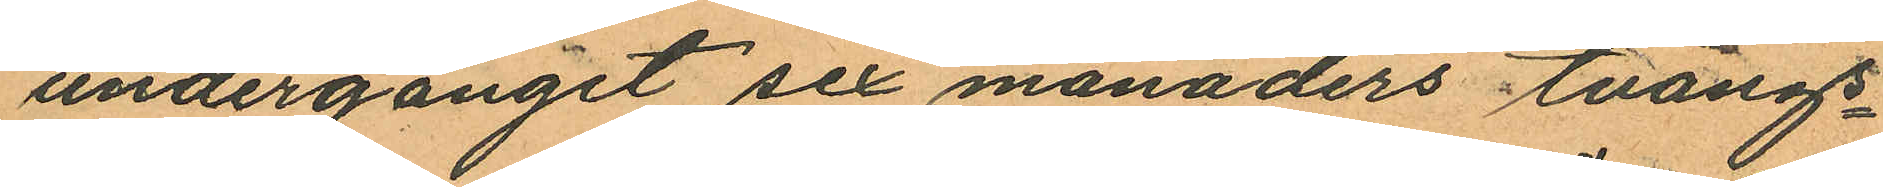undergånget sex månaders tvångs¬
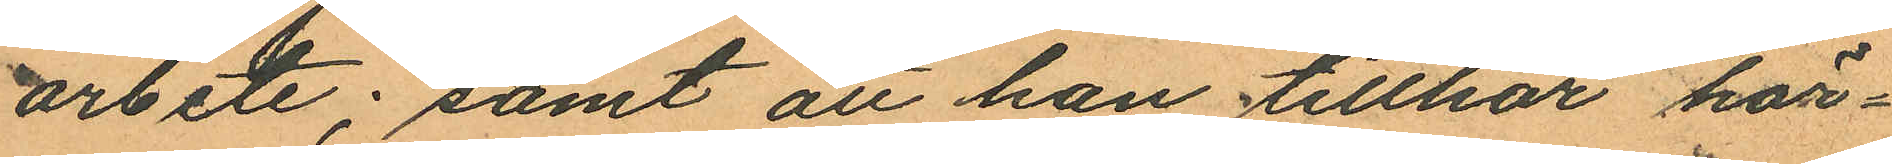arbete; samt att han tillhör här¬
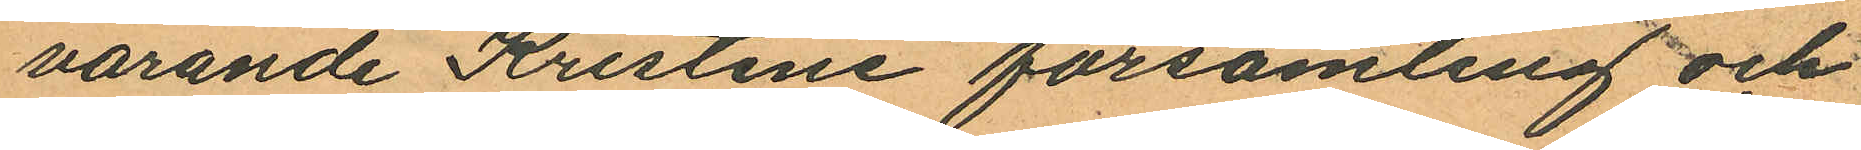varande Kristine församling och
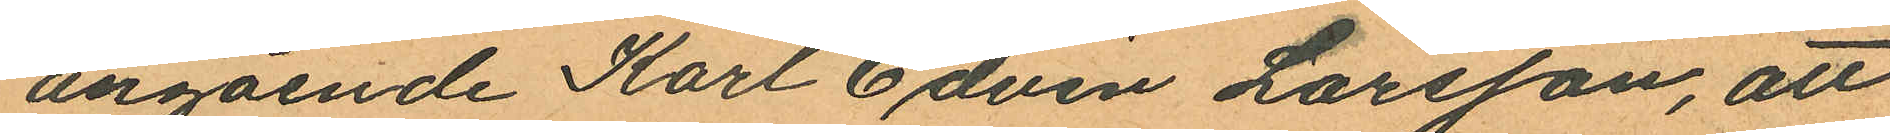angående Karl Edvin Larsson, att
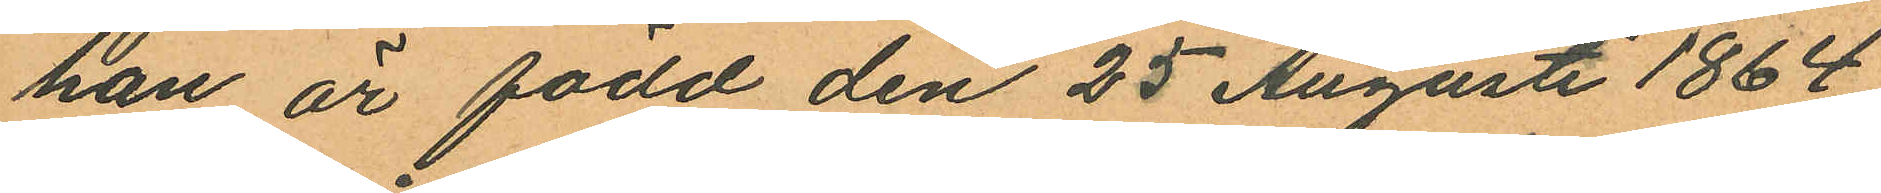han är född den 25 Augusti 1864
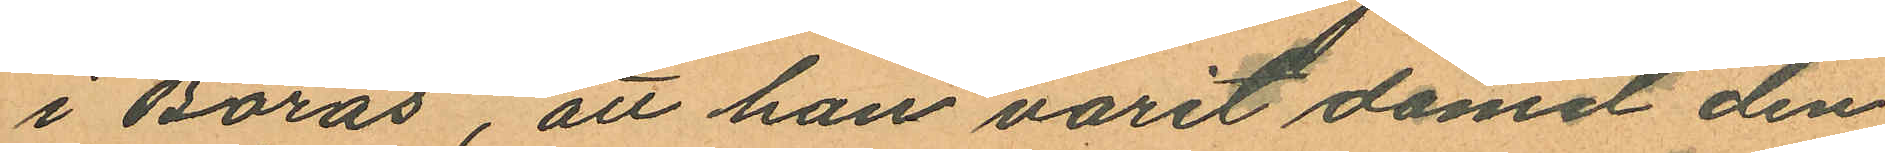i Borås, att han varit dömd den
